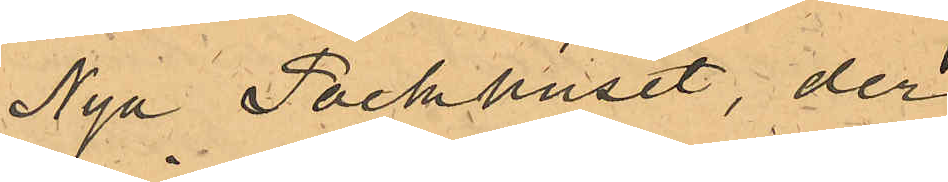Nya Packhuset, der
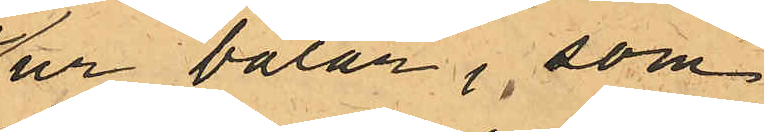ur balar, som
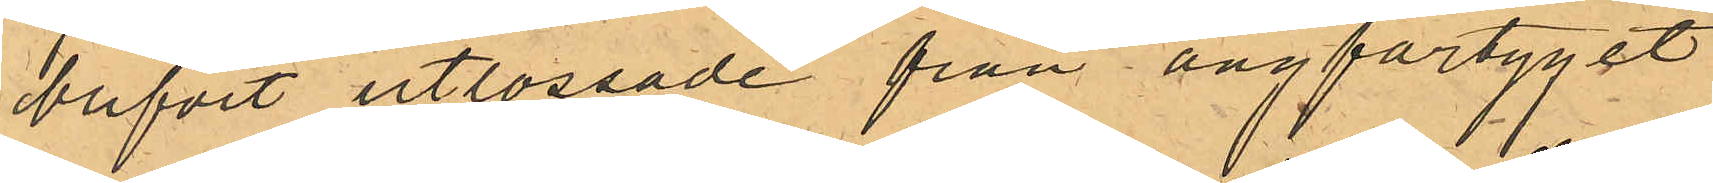blifvit utlossade från ångfartyget
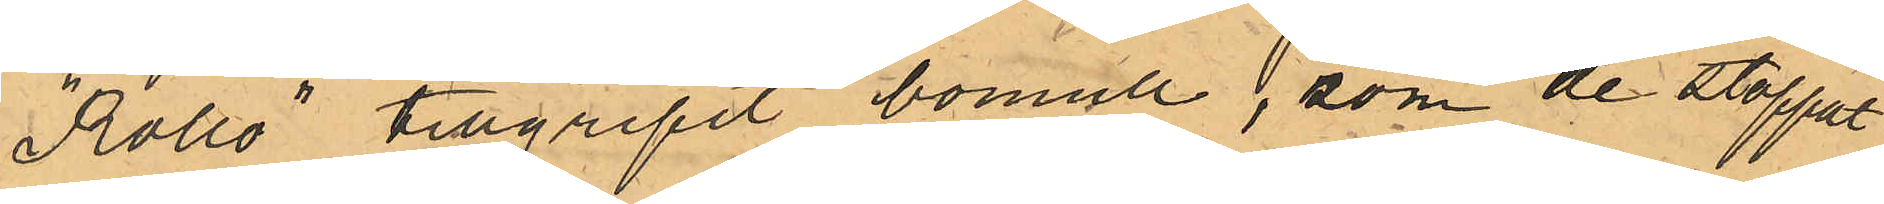"Rollo" tillgripit bomull, som de stoppat
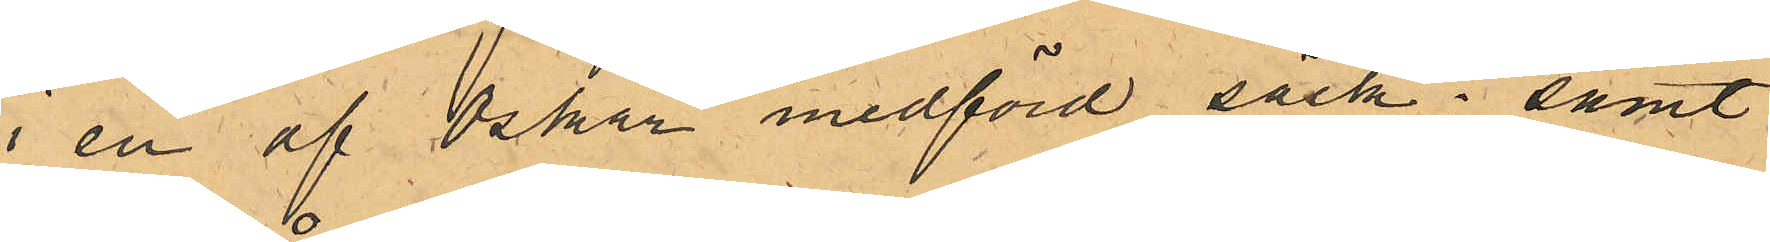i en af Oskar medförd säck; samt
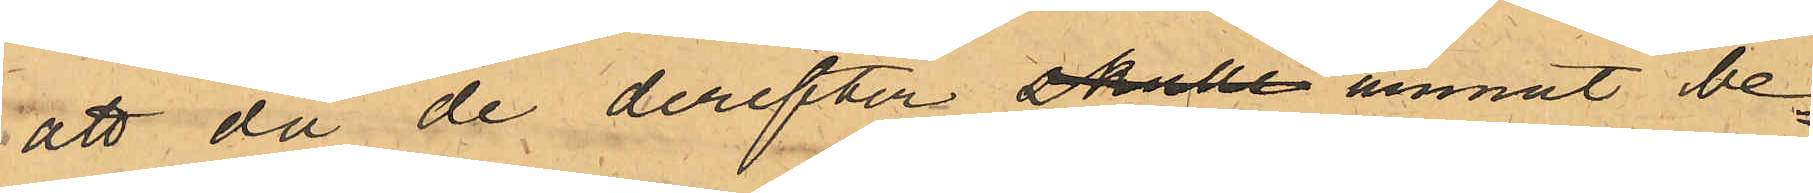att då de derefter skulle ämnat be¬
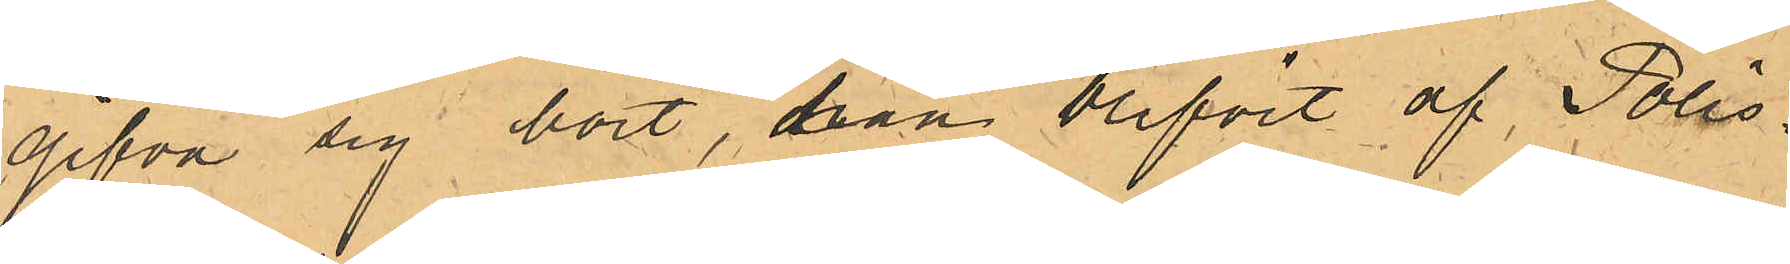gifva sig bort, han blifvit af Polis¬
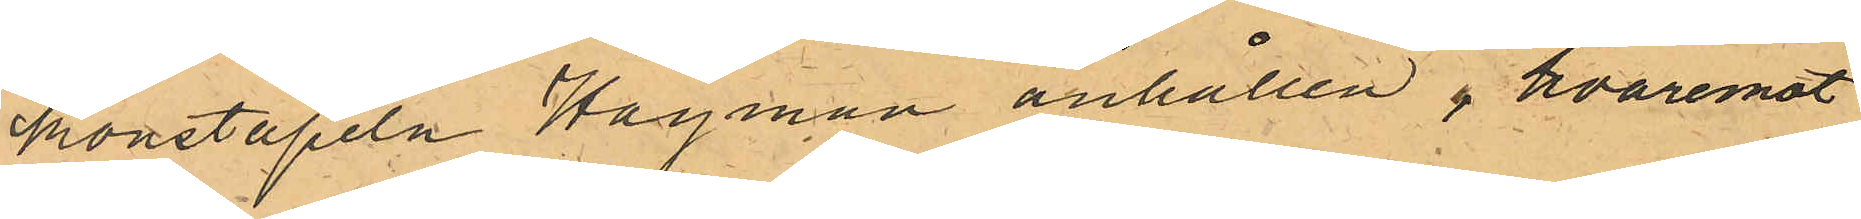konstapeln Hagman anhållen, hvaremot
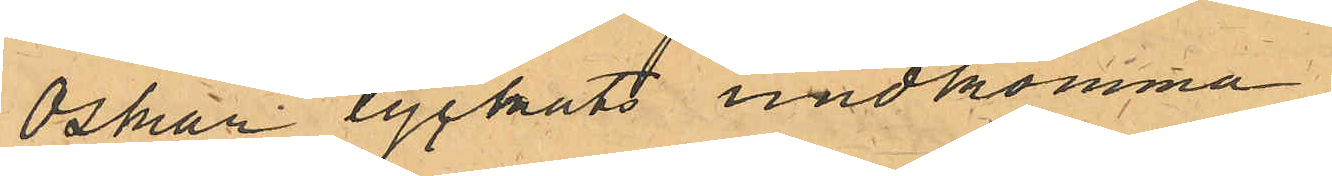Oskar lyckats undkomma.
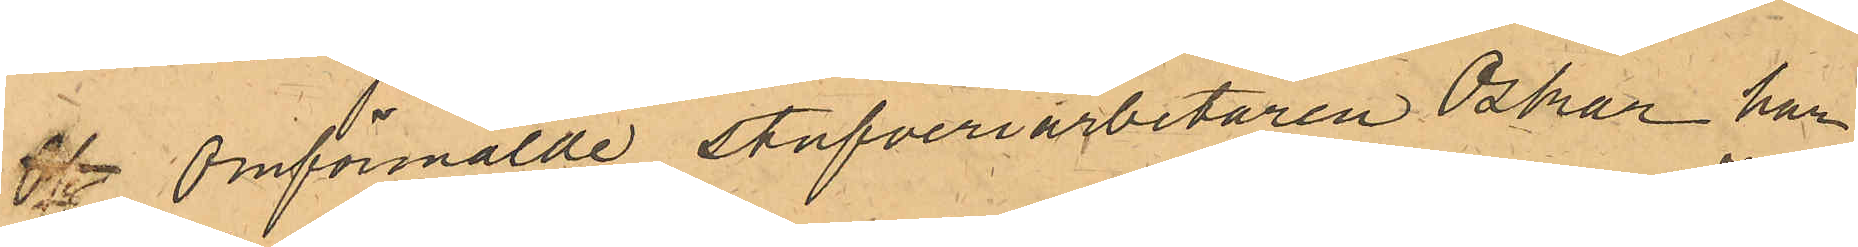Of Omförmälde stufveriarbetaren Oskar har
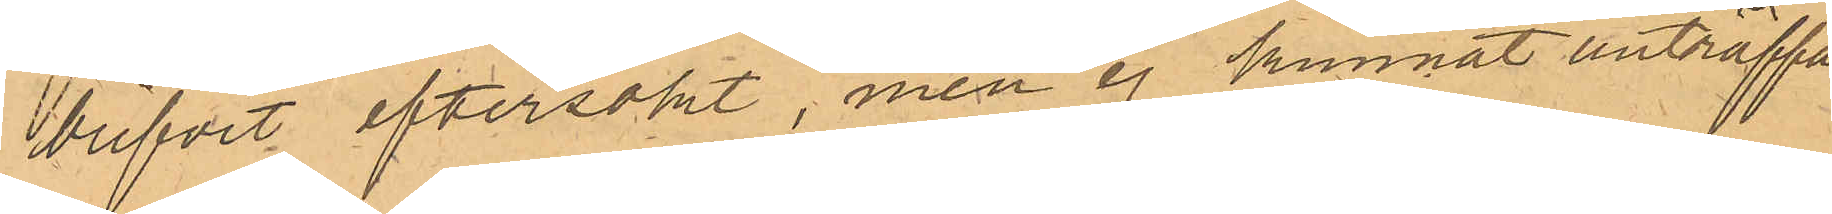blifvit eftersökt, men ej kunnat anträffas.
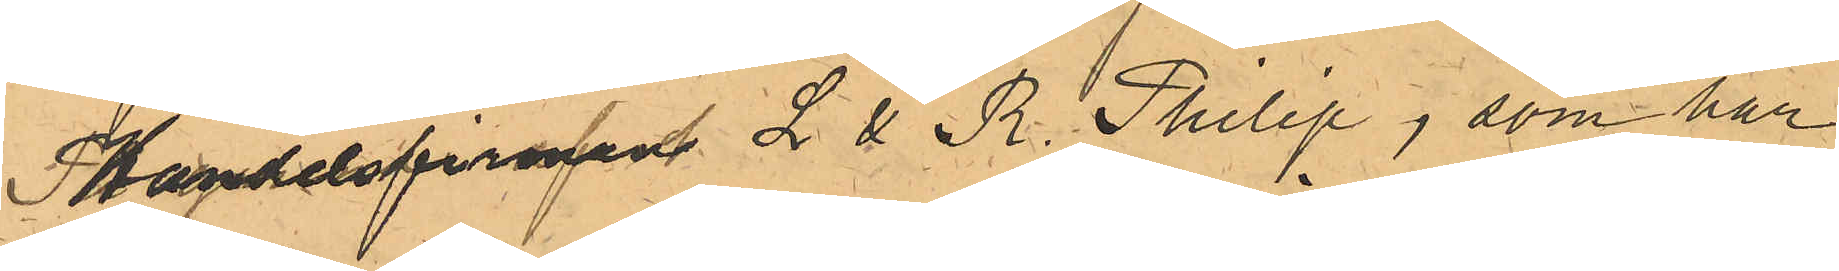Handelsfirman L & R. Philip, som har
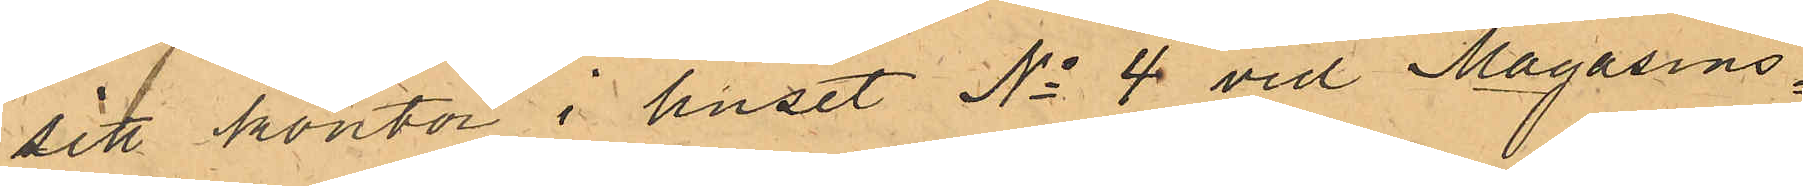sitt kontor i huset No 4 vid Magasins¬
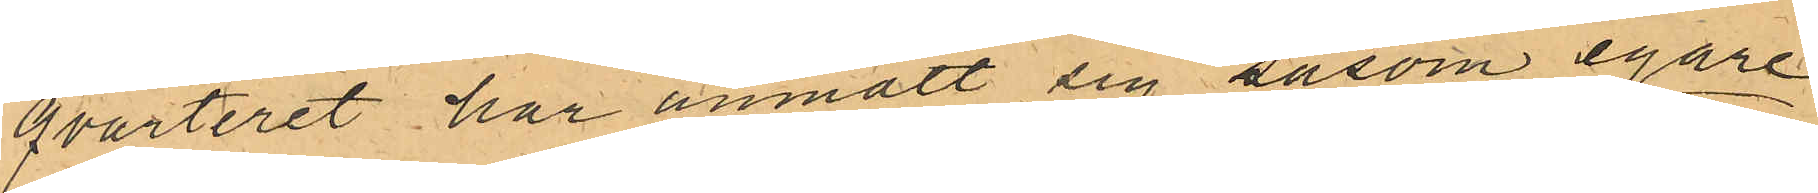qvarteret har anmält sig såsom egare
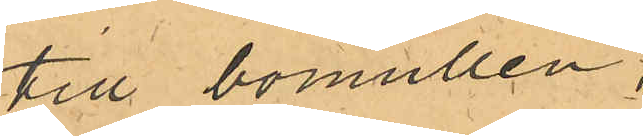till bomullen,
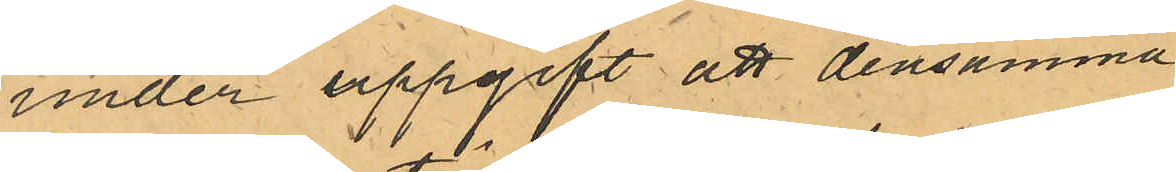under uppgift att densamma
